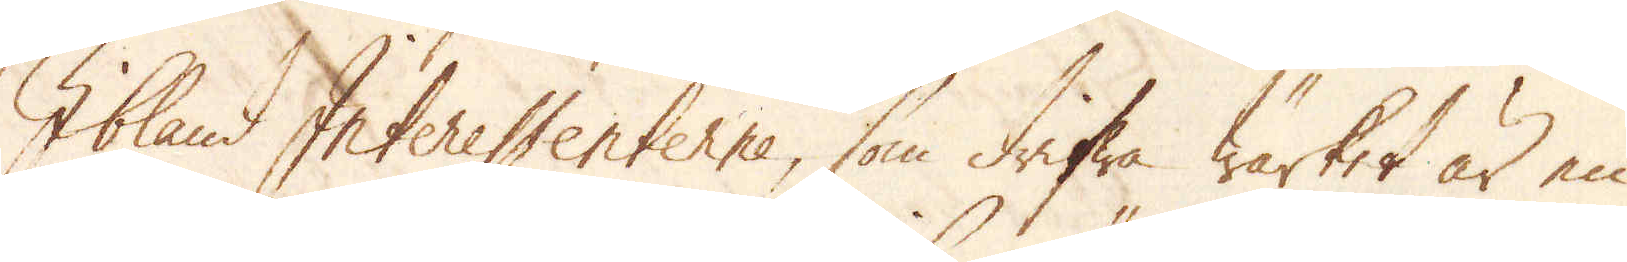Ibland Intreressenterne, som drifwa Wärket är en
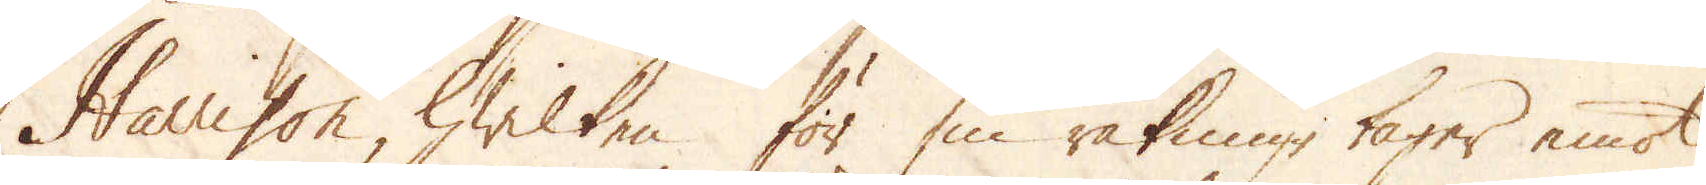Harrison, hwilken för sin räkning tager emot
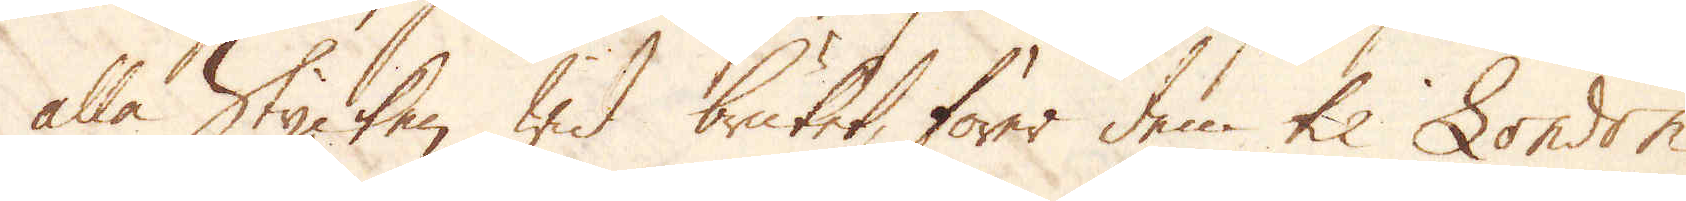alla Stycken wid bruket, förer dem til London
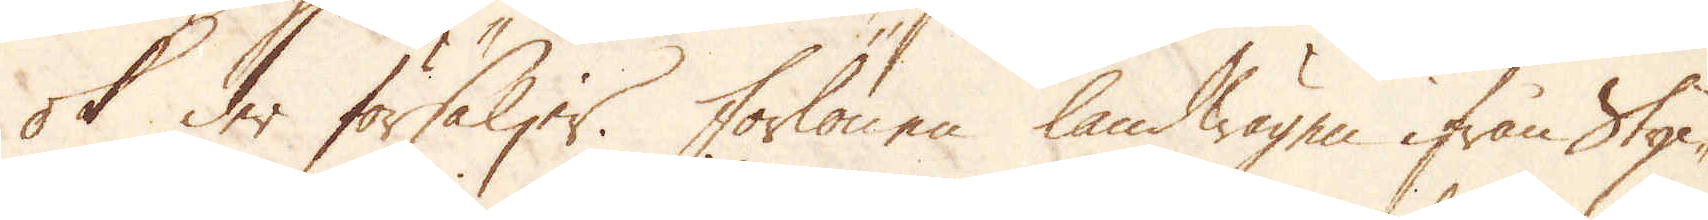ok der försäljer. Forlönen landwägen ifrån Styc-
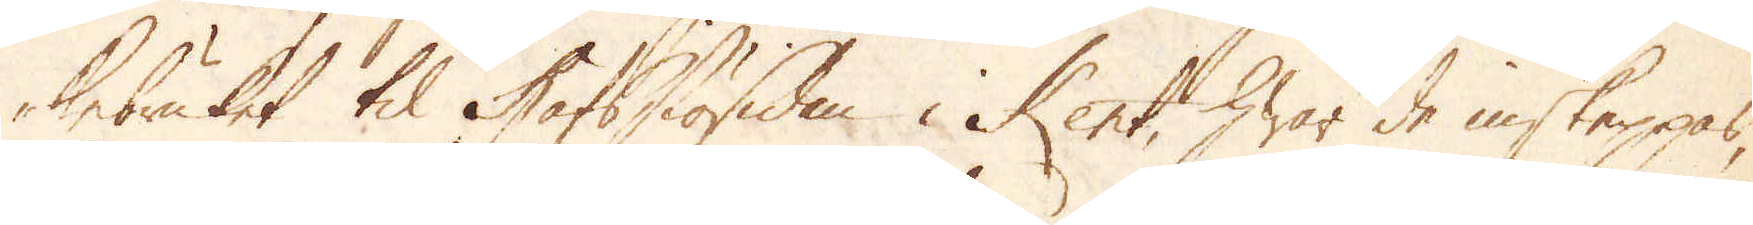kebruket til Hafssiösidan i Kent, hwar de inskeppas,
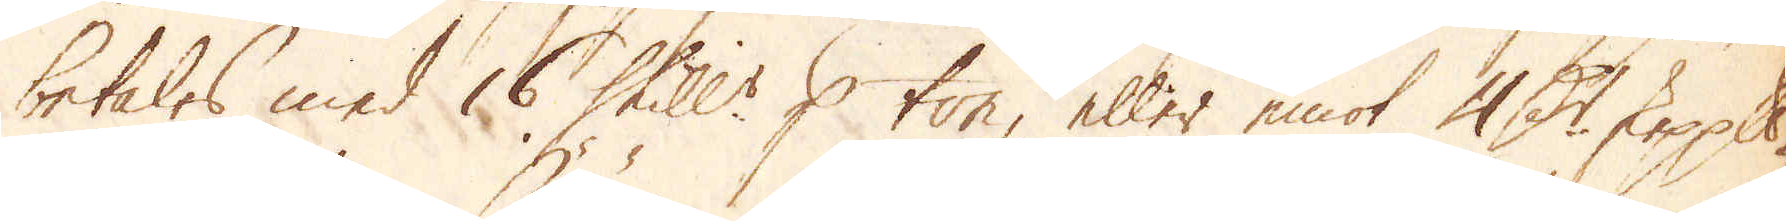betales med 16 Skill:r p ton eller emot 4 D:r skeppuundet
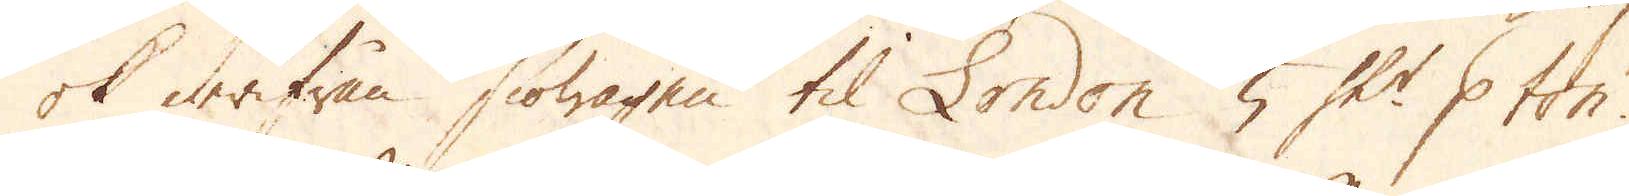ok derifrån siöwagen til London 5 Sk:r p ton.
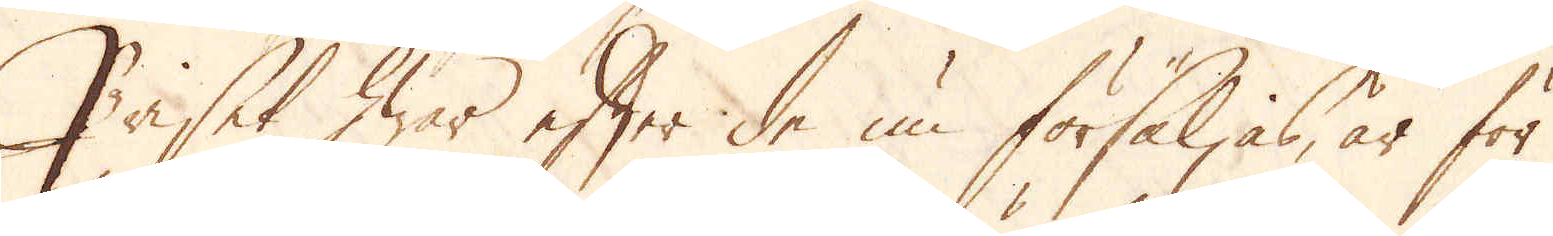Priset hwar efter de nu försäljas, är för
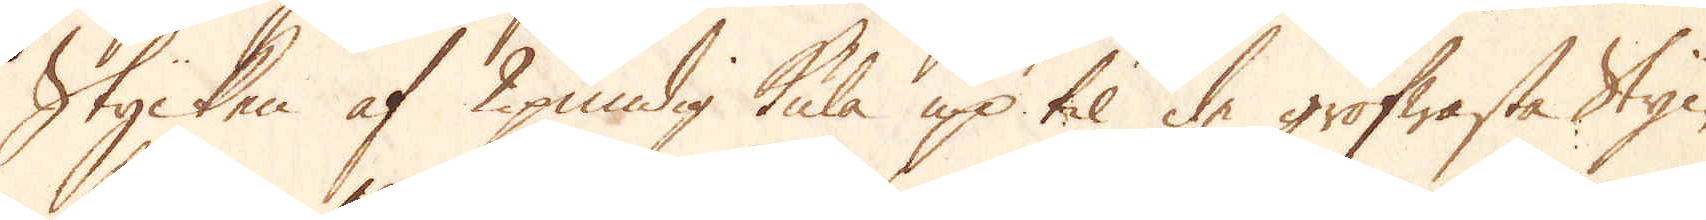Stycken af 2pundig kula upp til de grofwaste Styc-
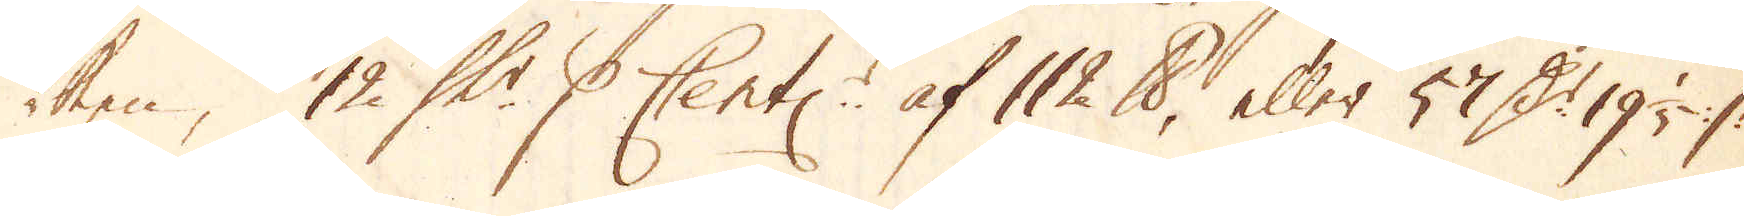ken; 12 Sk:r p Cent:r af 112 skålpund, eller 57 D:r 19 1/5 %
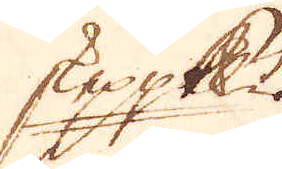skeppundet.
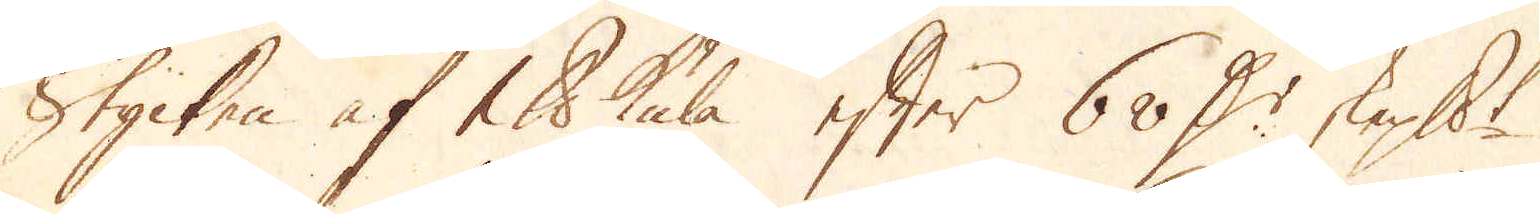Stycken af 1 skålpund kula efter 60 D:r skeppundet.
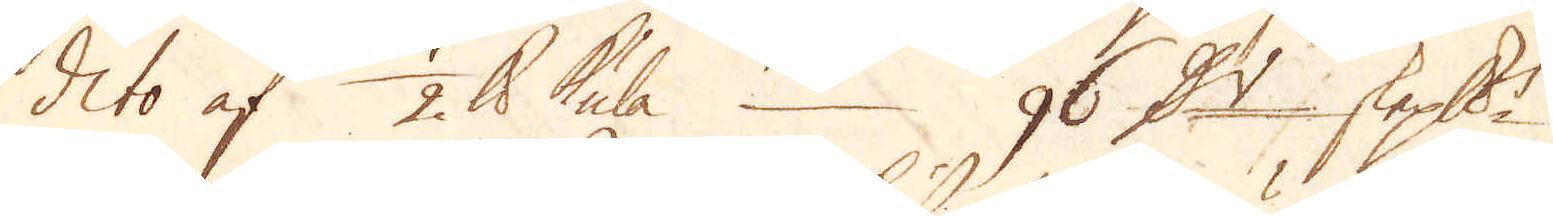dito af 1/2 skålpund kula 26 D:r skeppundet
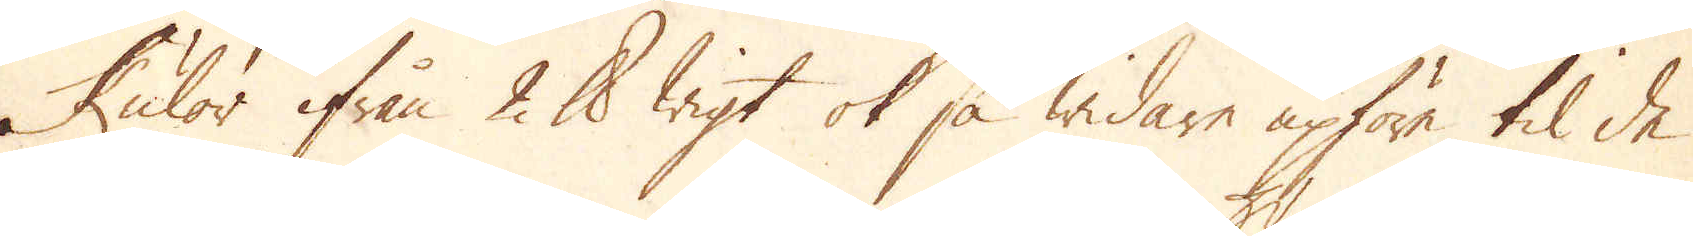Kulor ifrån 2 skålpund wigt ok så widare upföre til de
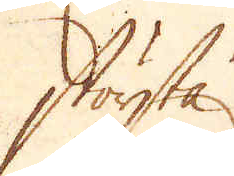största.
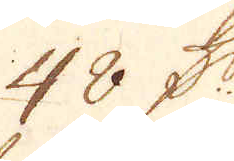48 D:r
